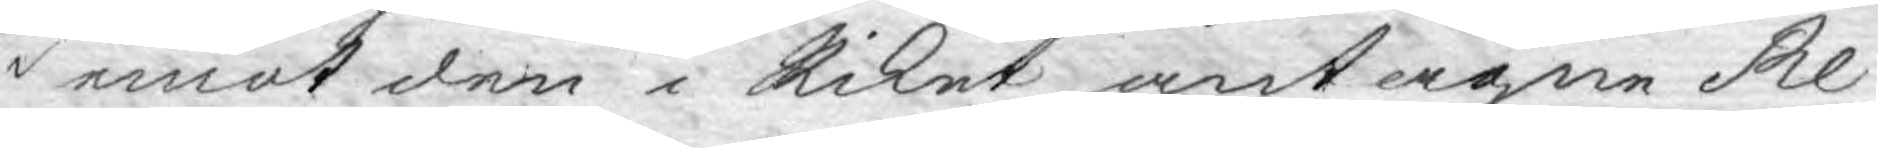i emot den i Riket antagne Re¬
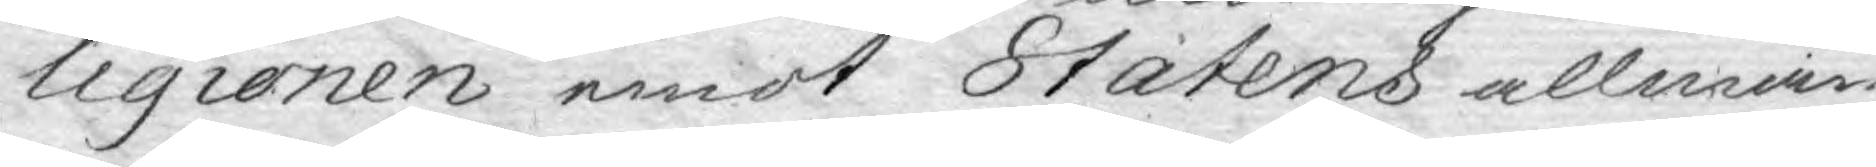ligionen emot Statens allmän¬
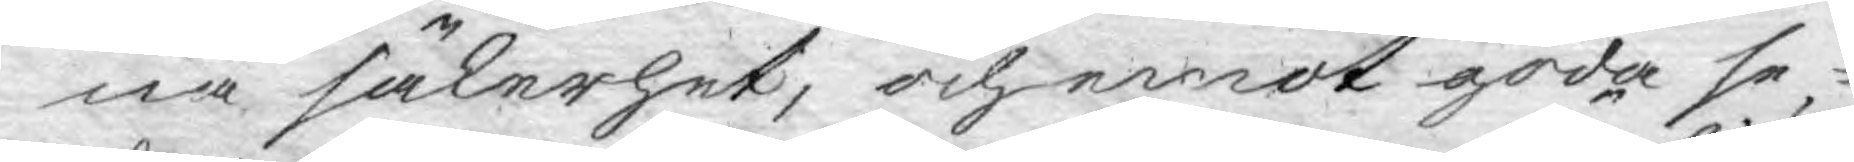na säkerhet, och emot goda se¬
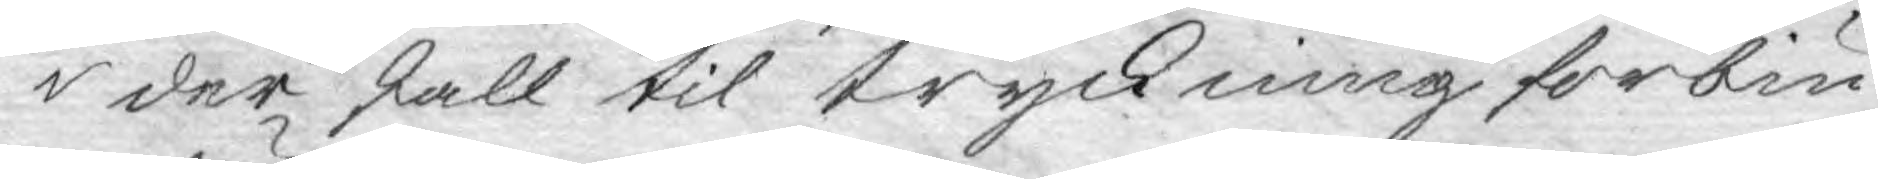der skall til tryckning förbiu¬
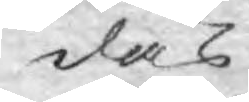das
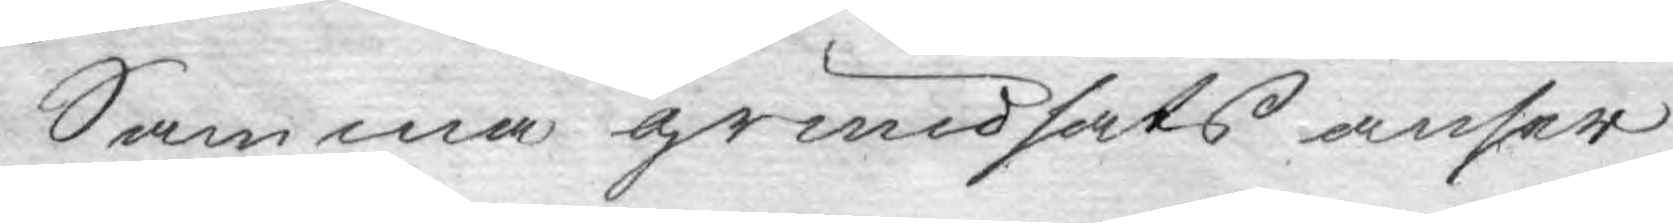Samma grundsats anser
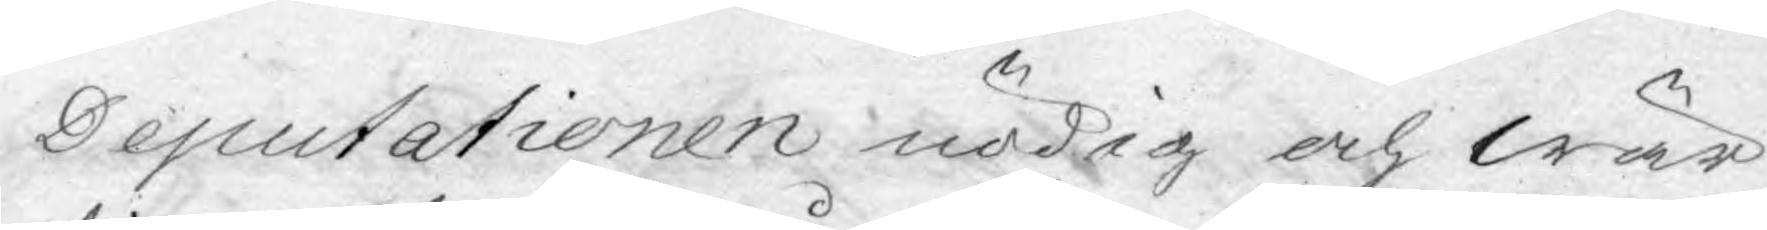Deputationen nödig och wär¬
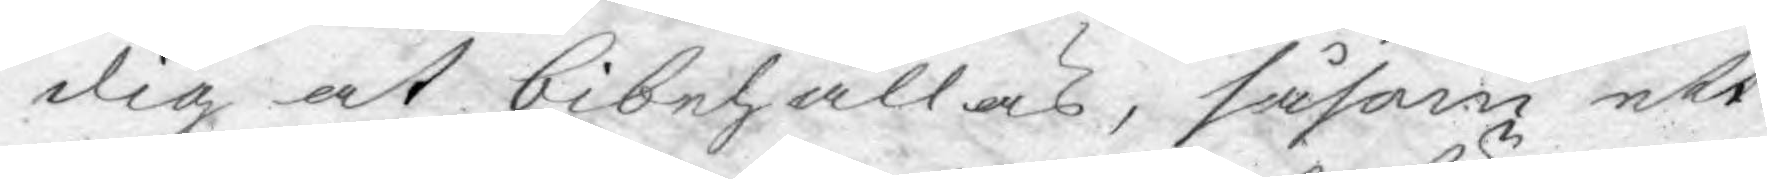dig at bibehållas, såsom ett
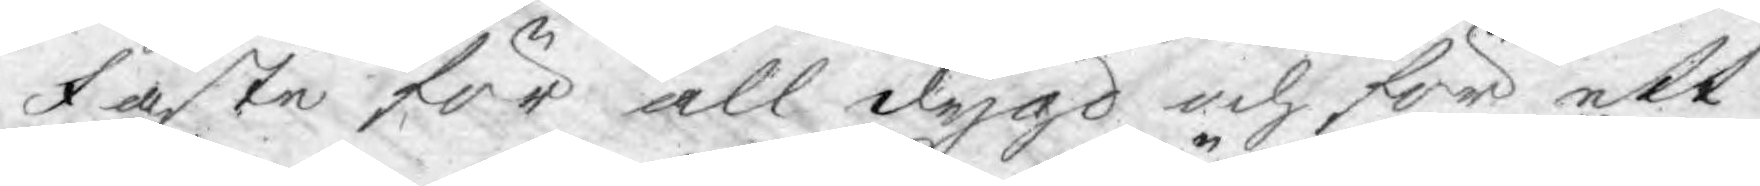fäste för all dygd och för ett
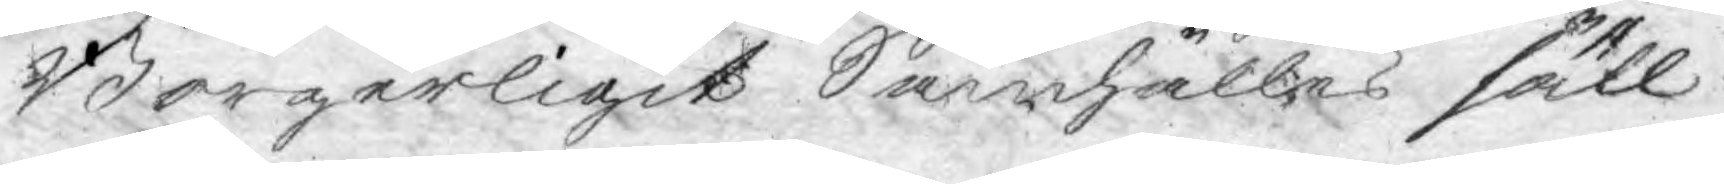Borgerligit Samhälles säll¬
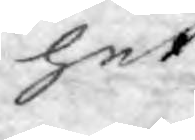het.
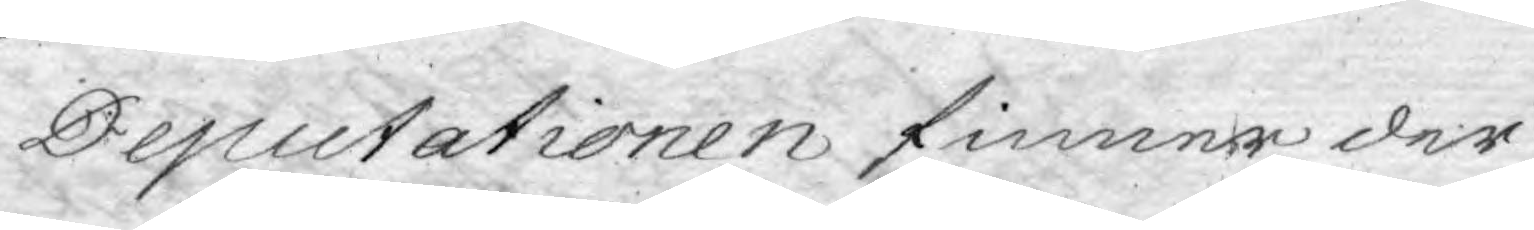Deputationen finner der¬
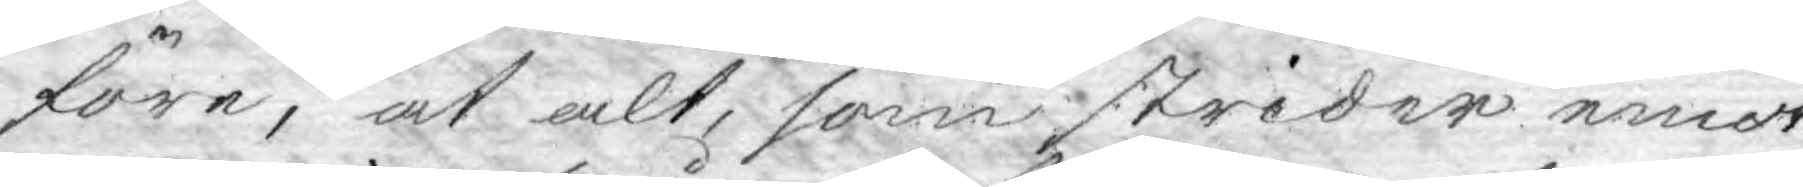före, at alt, som strider emot
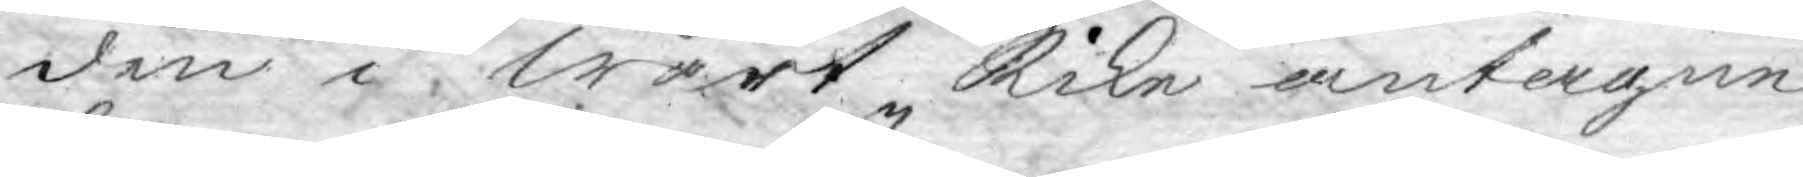den i Wårt Rike antagne
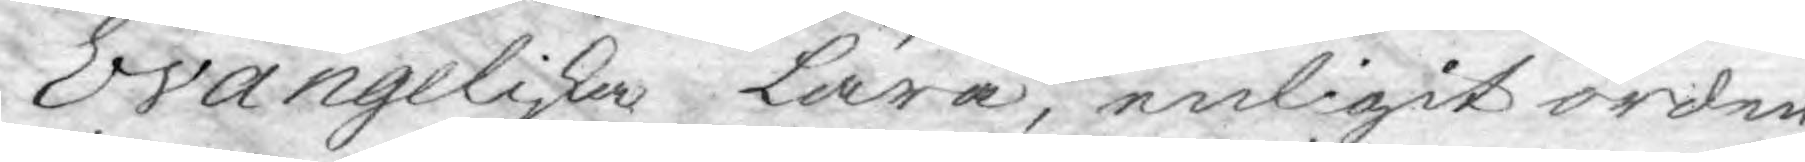Evangeliska lära, enligit orden
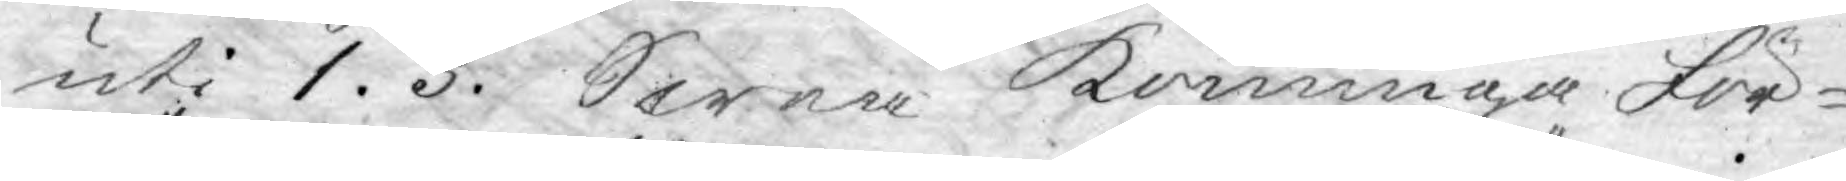uti 1. §. Swea Konunga För¬
